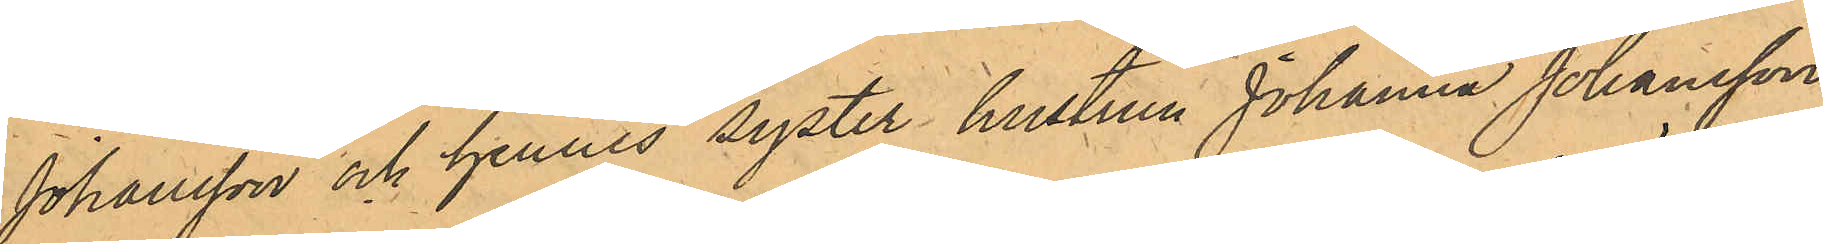Johansson och hennes syster hustrun Johanna Johansson,
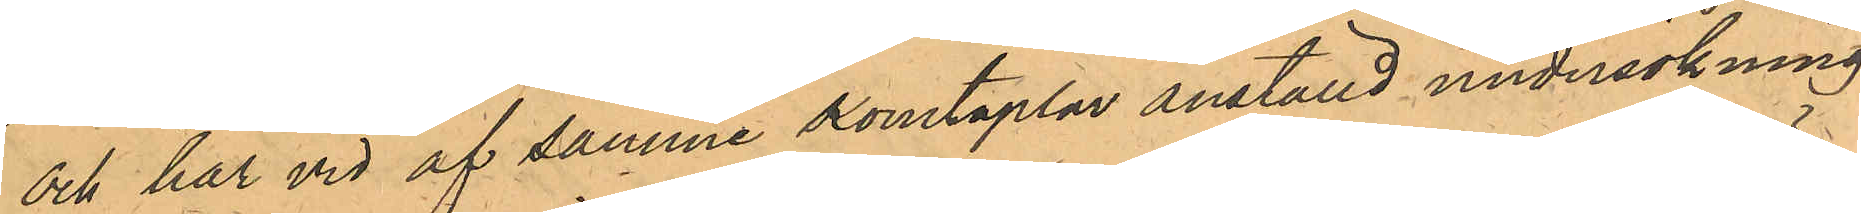och har vid af samme Konstaplar anställd undersökning
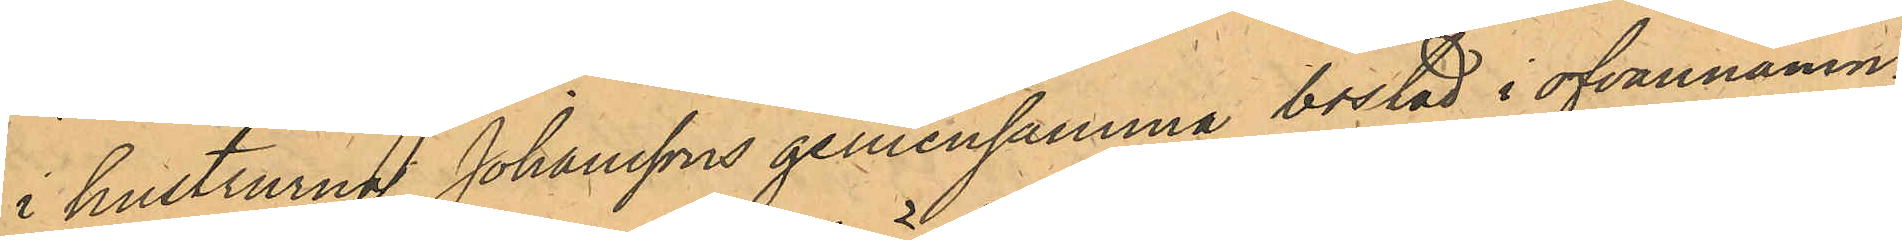i hustrurna Johanssons gemensamma bostad i ofvannämn¬
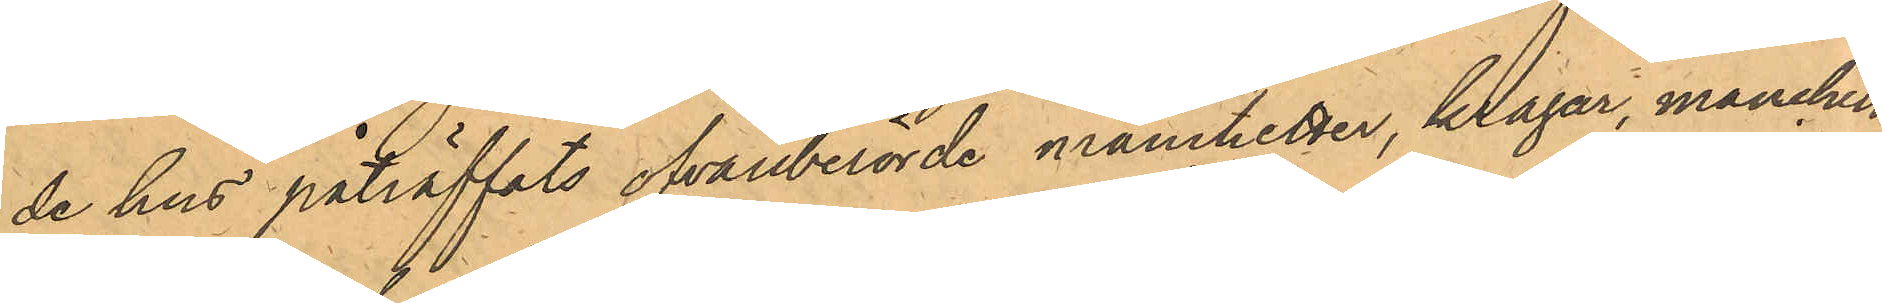de hus påträffats ofvanberörde manchetter, kragar, manchett¬
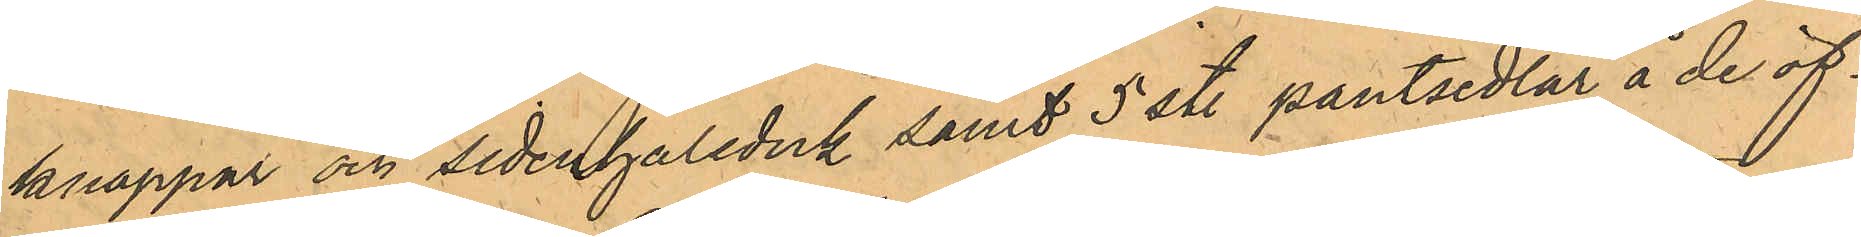knappar och sidenhalsduk samt 3 st. pantsedlar å de öf¬
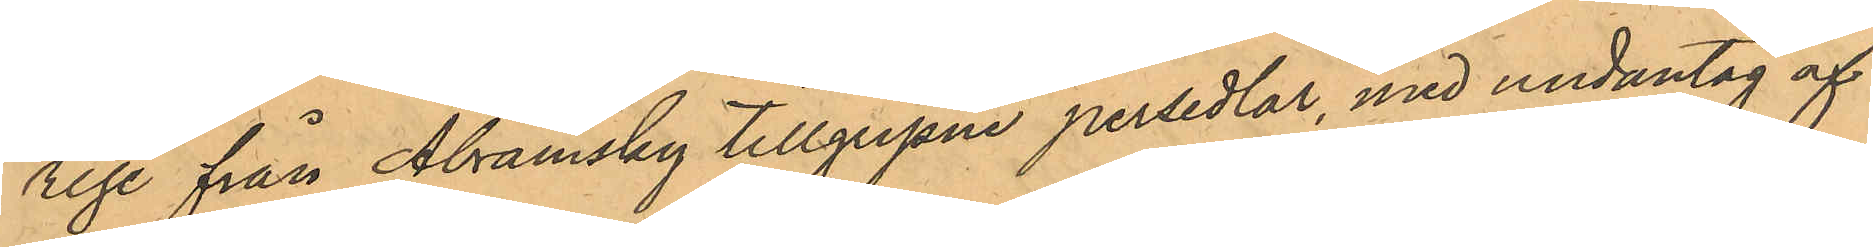rige från Abramsky tillgripne persedlar, med undantag af
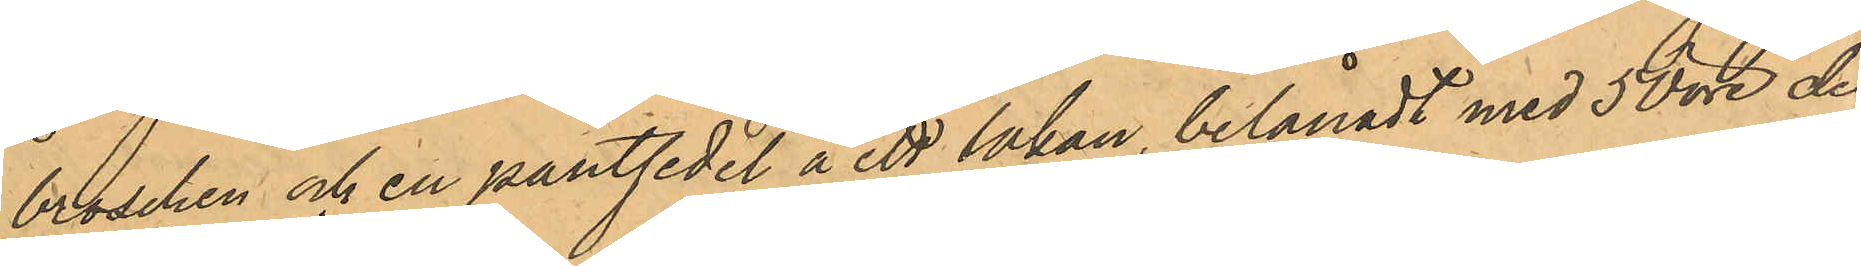broschen och en pantsedel å ett lakan, belånadt med 50 öre den
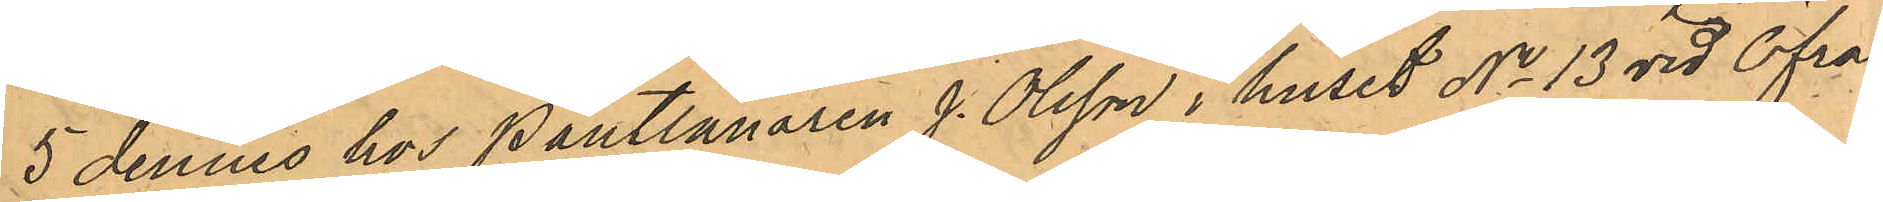5 dennes hos Pantlånaren J. Olsson i huset No 13 vid Öfra
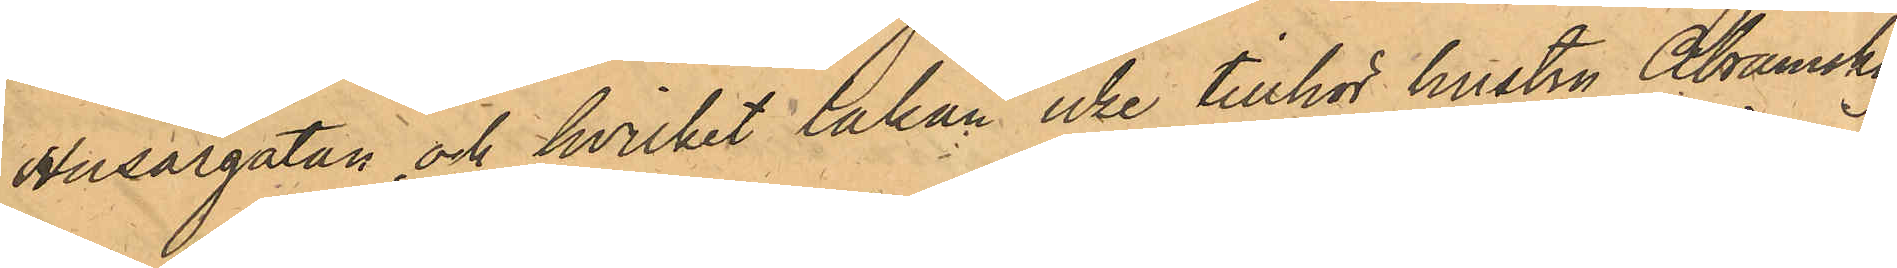Husargatan och hvilket lakan icke tillhör hustru Abramsky.
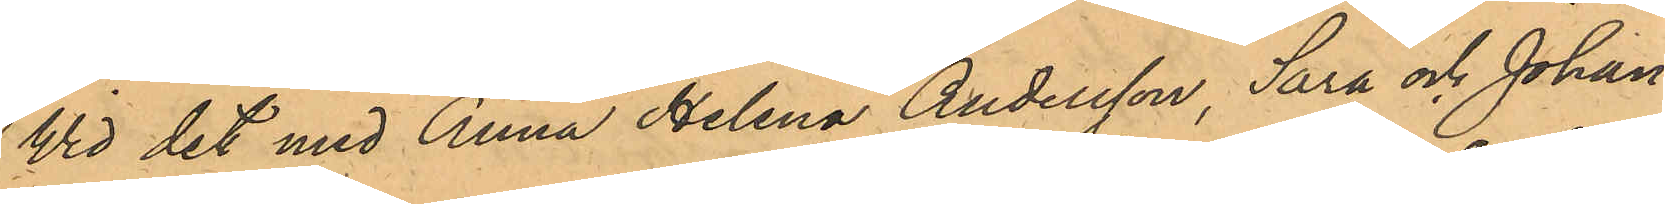Wid det med Anna Helena Andersson, Sara och Johan¬
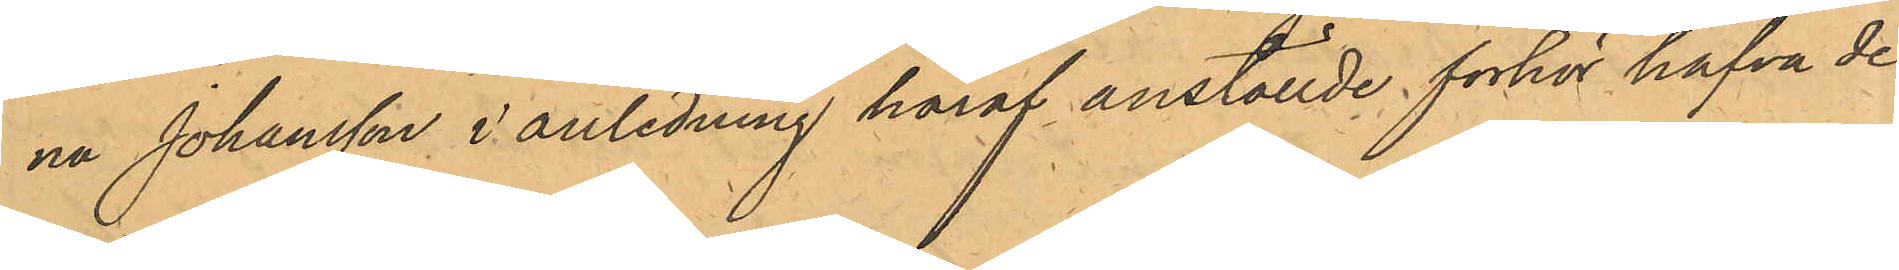na Johansson i anledning häraf anställde förhör hafva de
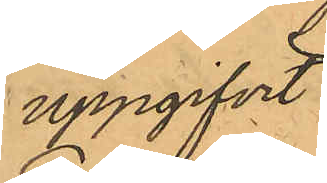uppgifvit:
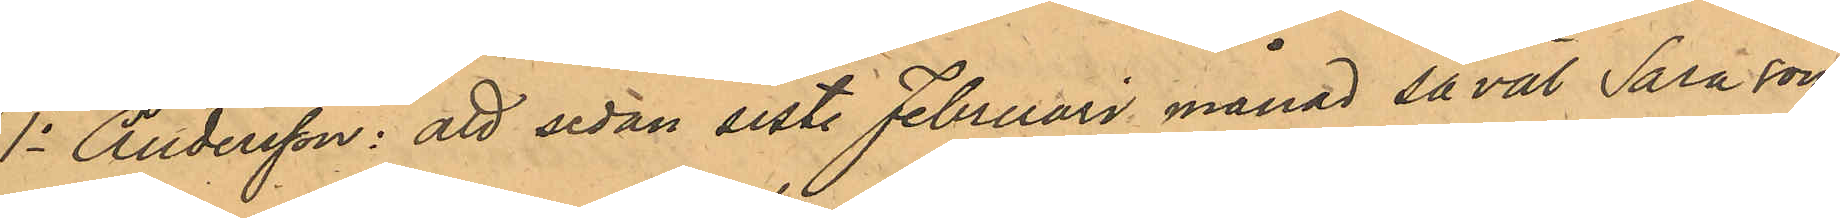1o Andersson: att sedan sistl. Februari månad såväl Sara som
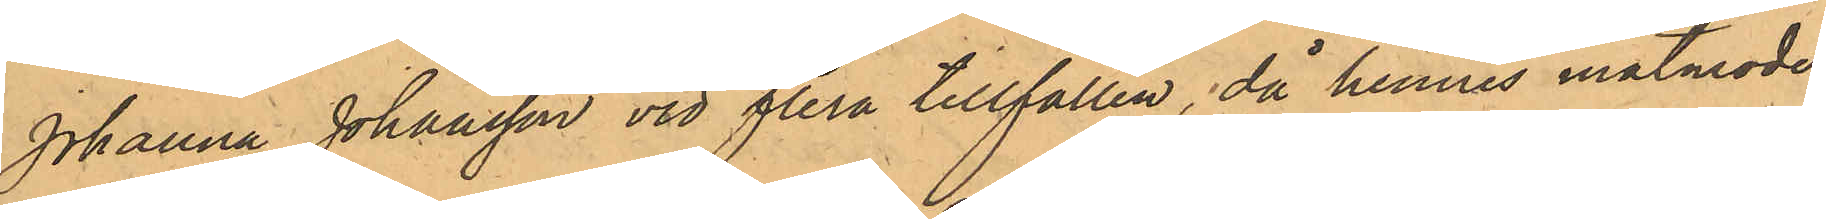Johanna Johansson vid flera tillfällen, då hennes matmoder
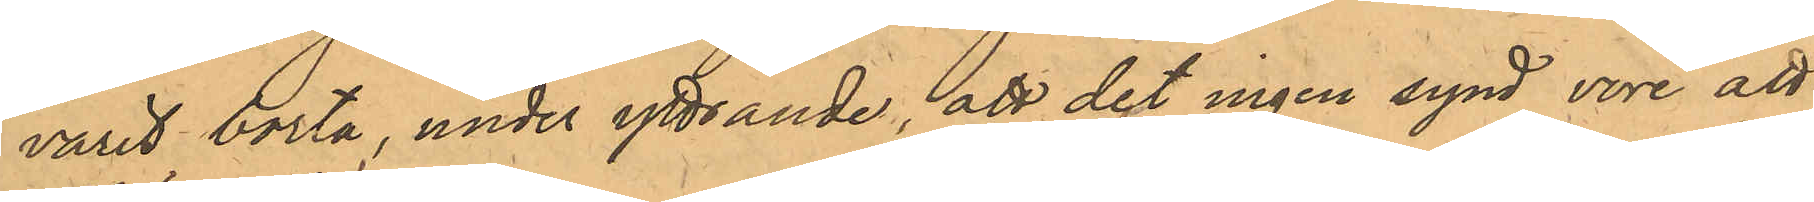varit borta, under yttrande, det det ingen synd vore att
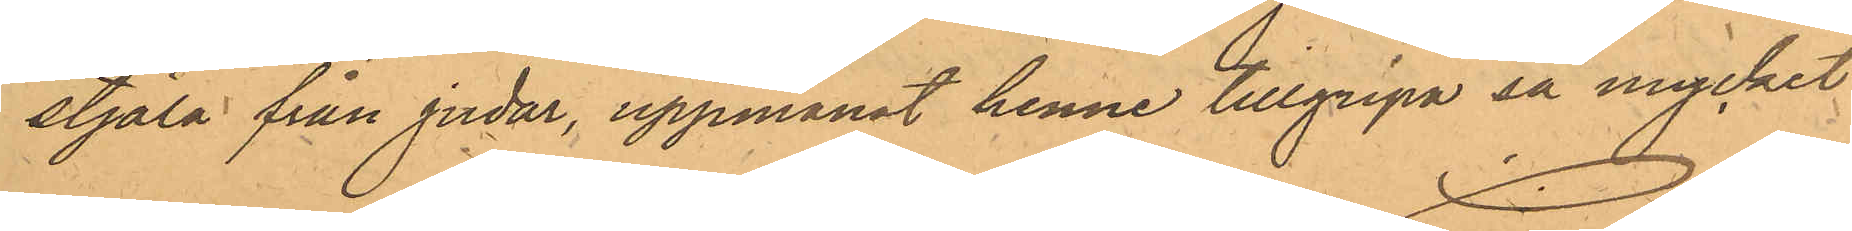stjäla från judar, uppmanat henne tillgripa så mycket
